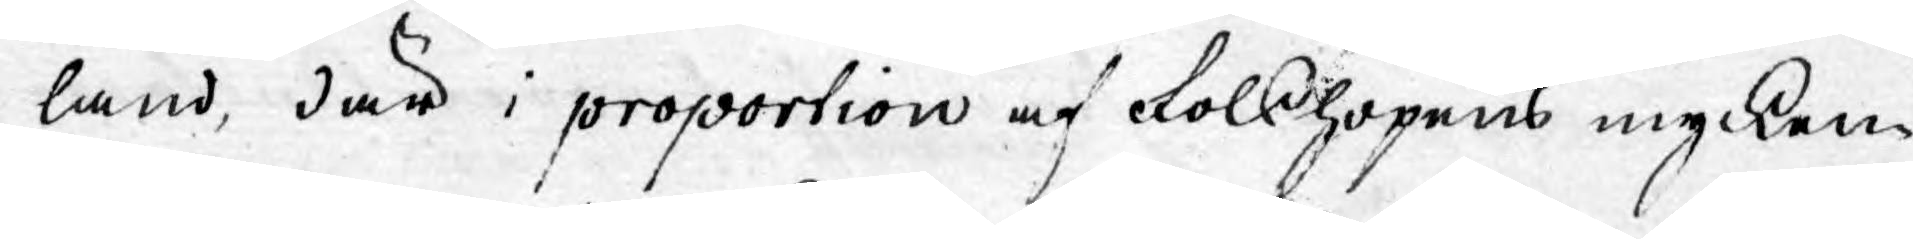land, där i proportion af Folkhopens mycken¬
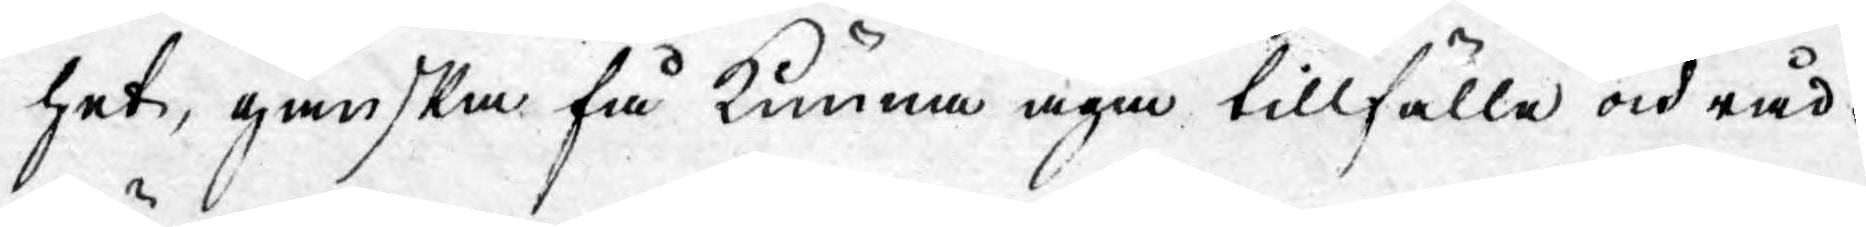het, ganska få kunna äga tillfälle och råd¬
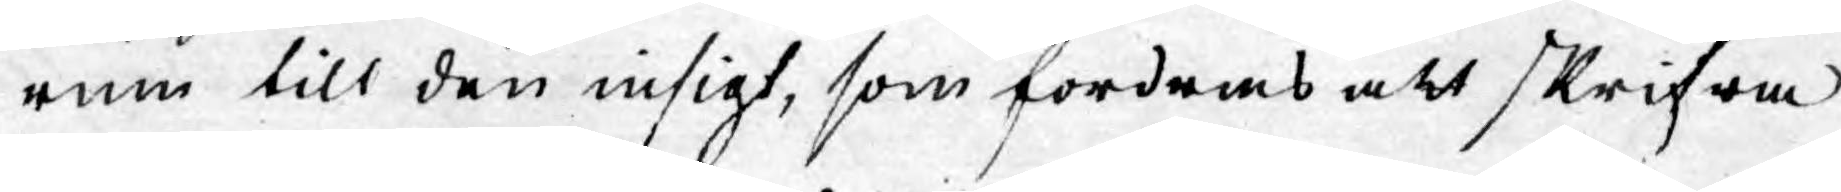rum till den insigt, som fordras att skrifwa
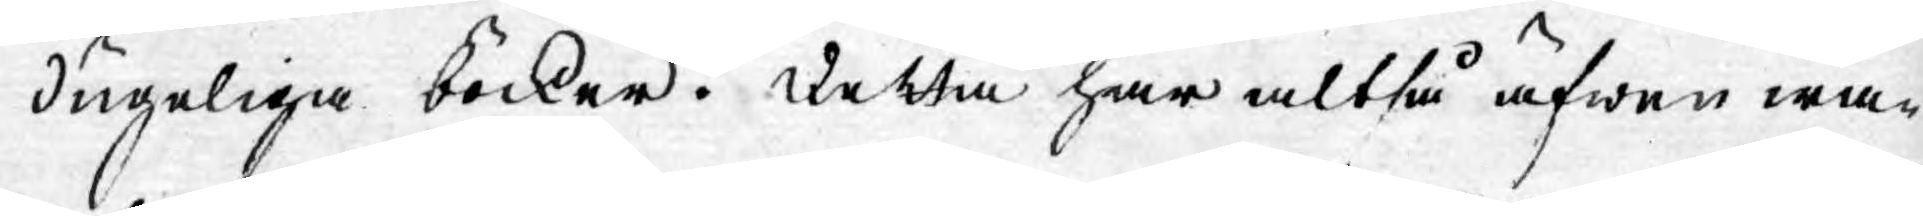dugeliga böcker. Detta har altså äfwen war¬
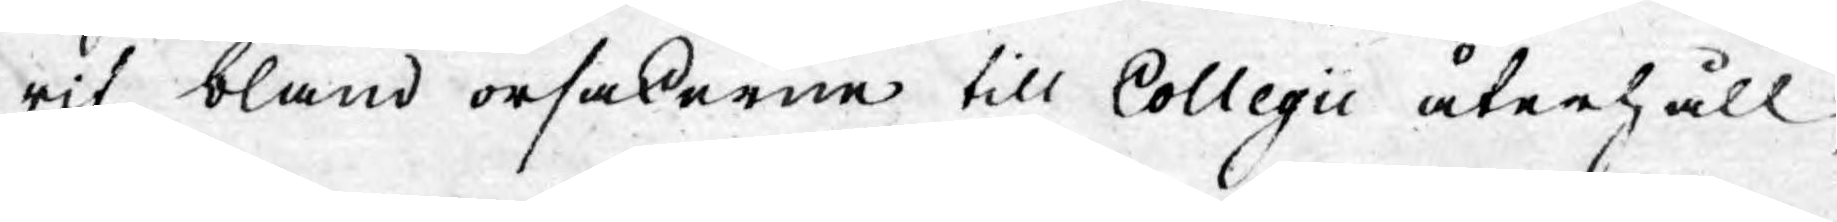rit bland orsakerne till Collegii återhåll,
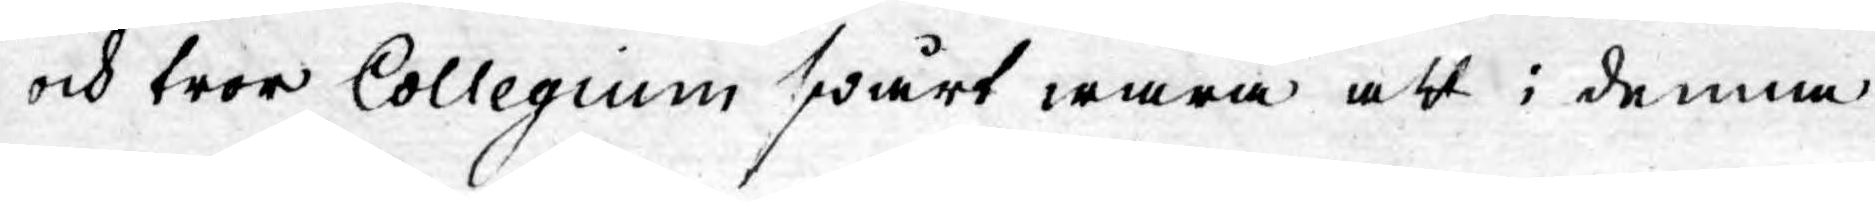ock tror Collegium swårt wara att i denna
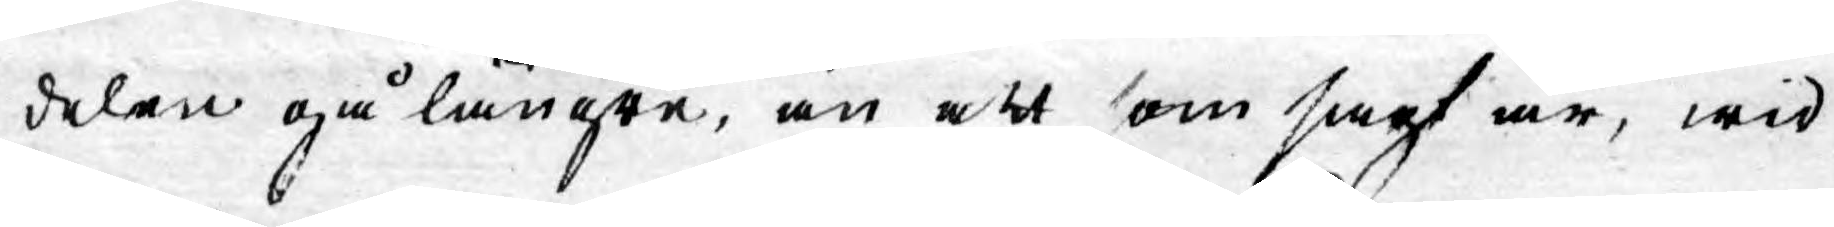delen gå längre, än att som sagt är, wid
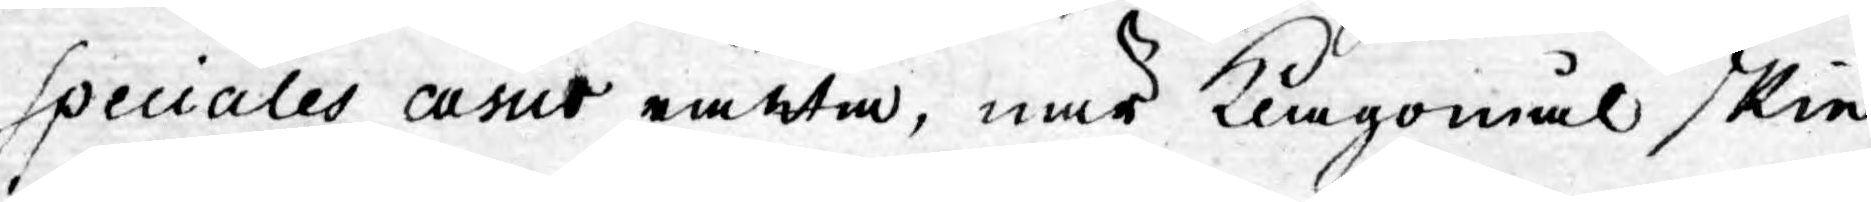speciales casus ränta, när Klagomål skier,
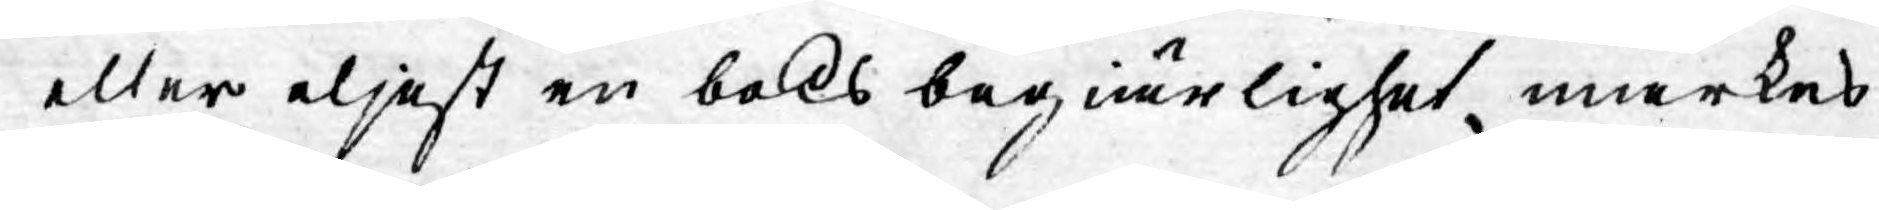eller eljest en boks begiärlighet märkes
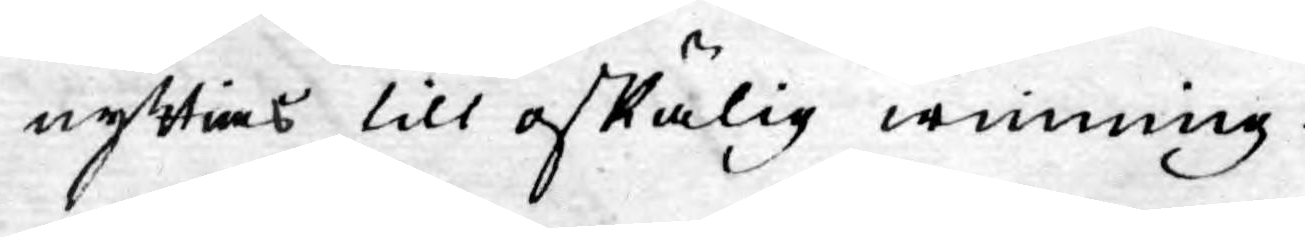nyttias till oskälig winning.
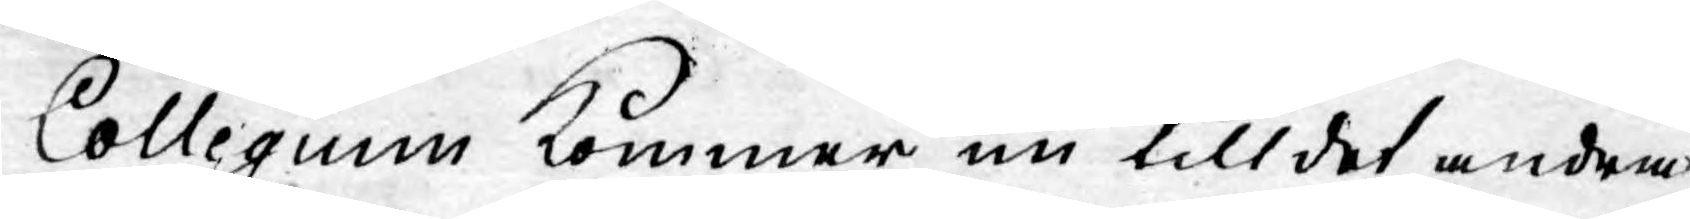Collegium kommer nu till det andra
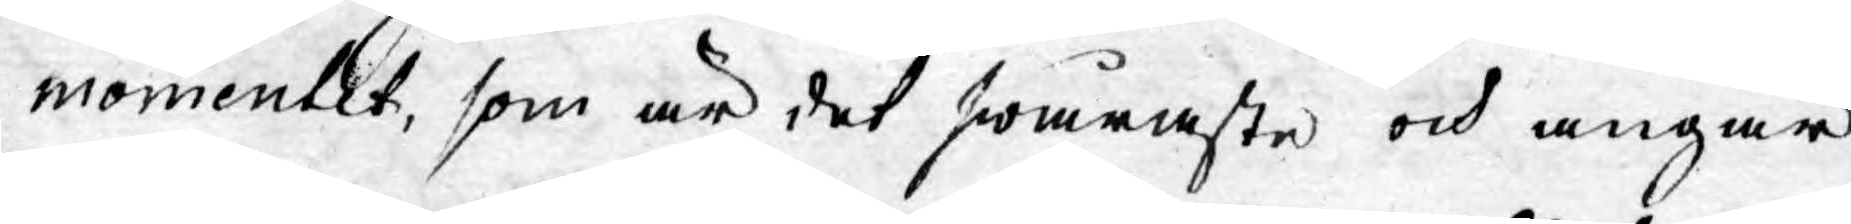momentet, som är det swåraste och angår
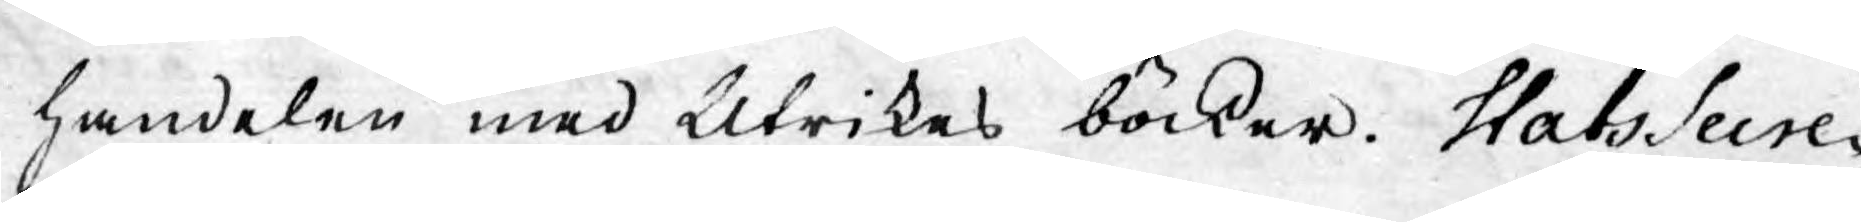handelen med Utrikes böcker. Stats Secre¬
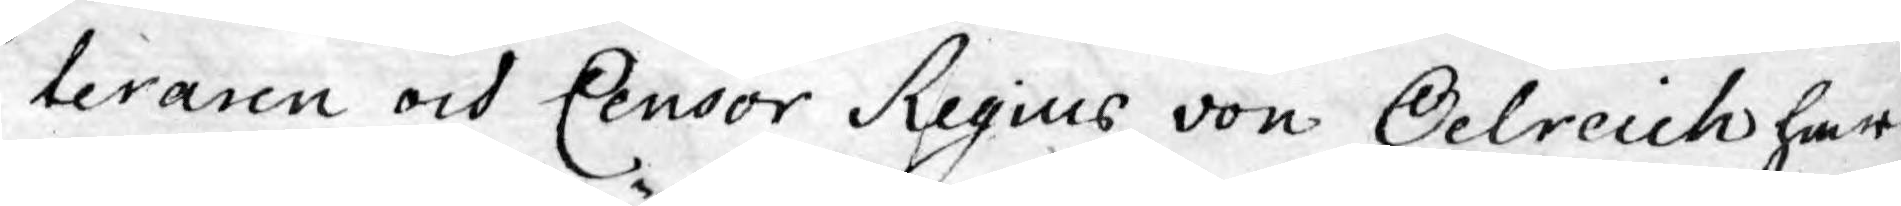teraren och Censor Regius von Oelreich har
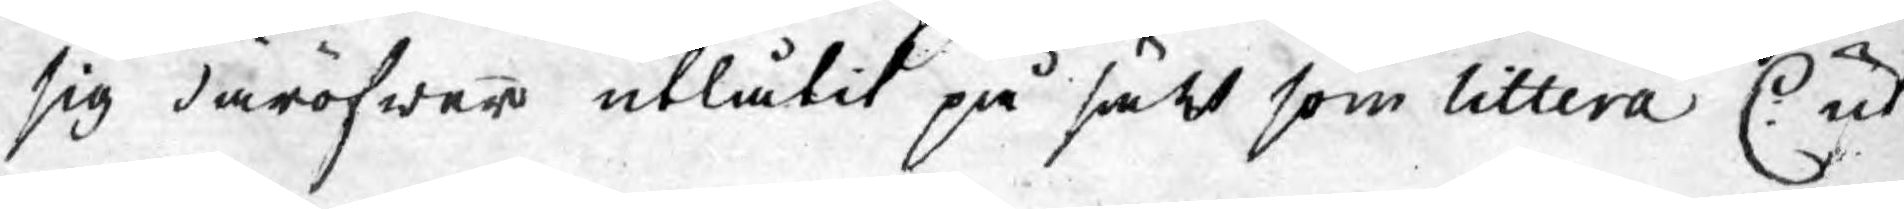sig däröfwer utlåtit på sätt som littera C: ut¬
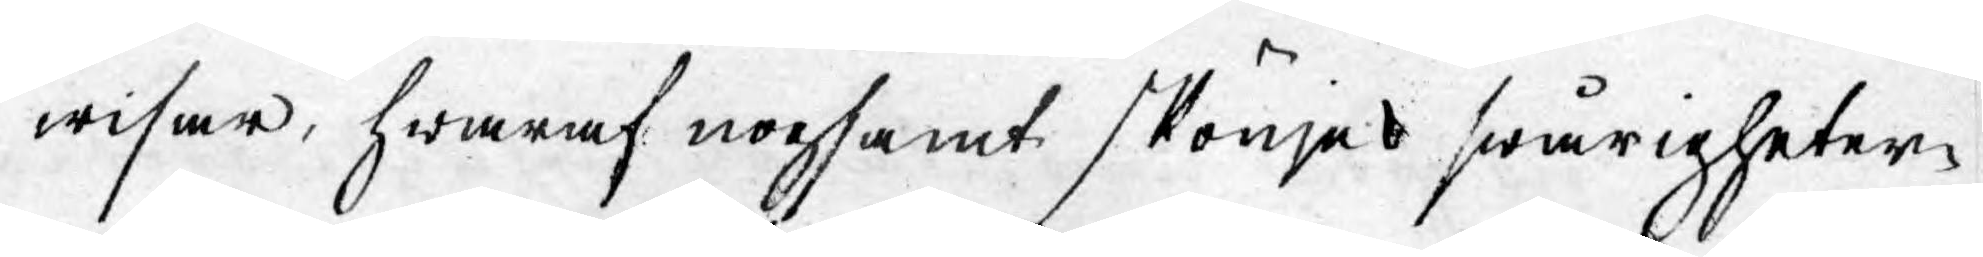wisar, hwaraf nogsamt skönjes swårigheter¬
